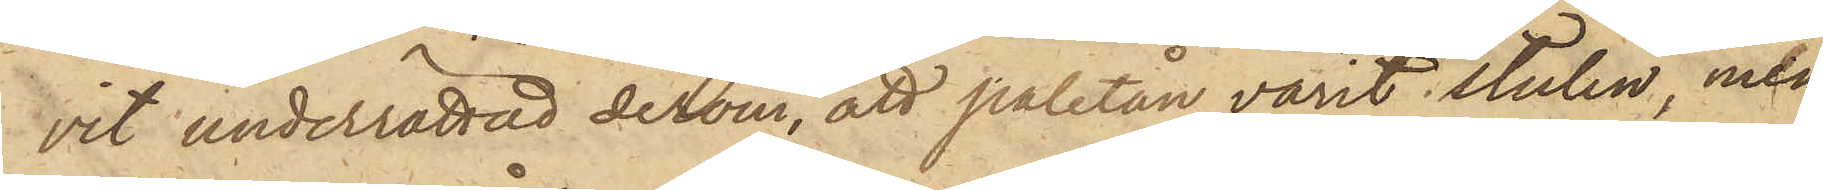vit underrättad derom, att paletån varit stulen, men
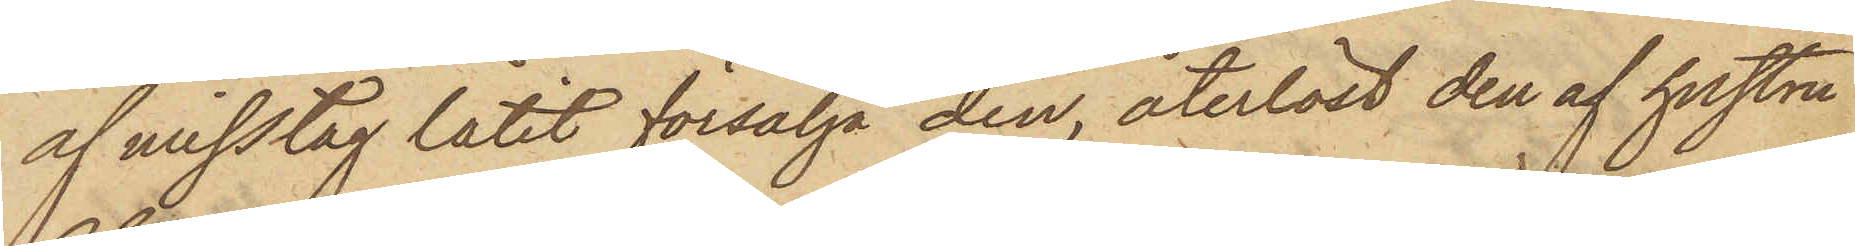af misstag låtit försälja den, återlöst den af hustru
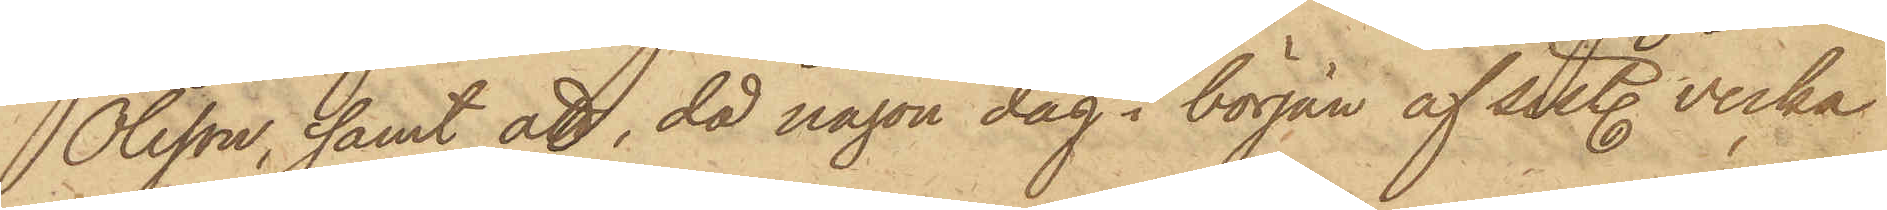Olsson, samt att, då någon dag i början af sist. vecka
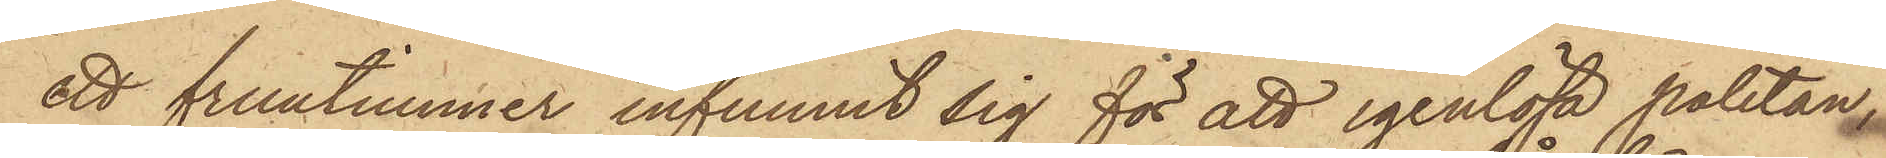ett fruntimmer infunnit sig för att igenlösa paletån,
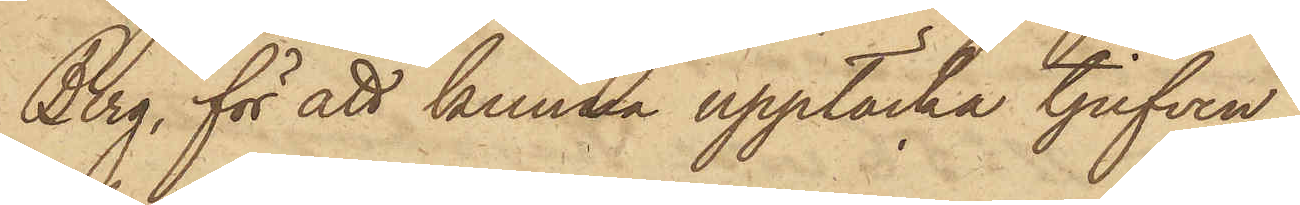Berg, för att kunna upptäcka tjufven,
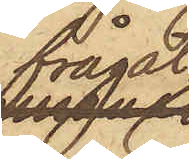frågat
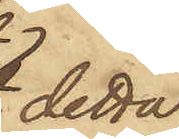detta
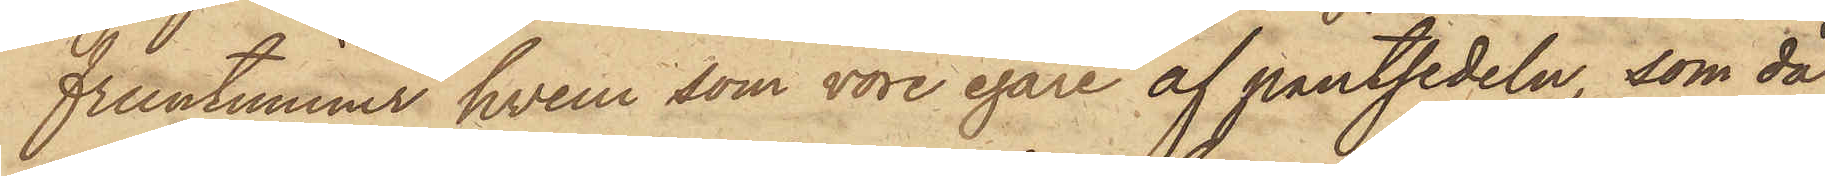fruntimmer hvem som vore egare af pantsedeln, som då
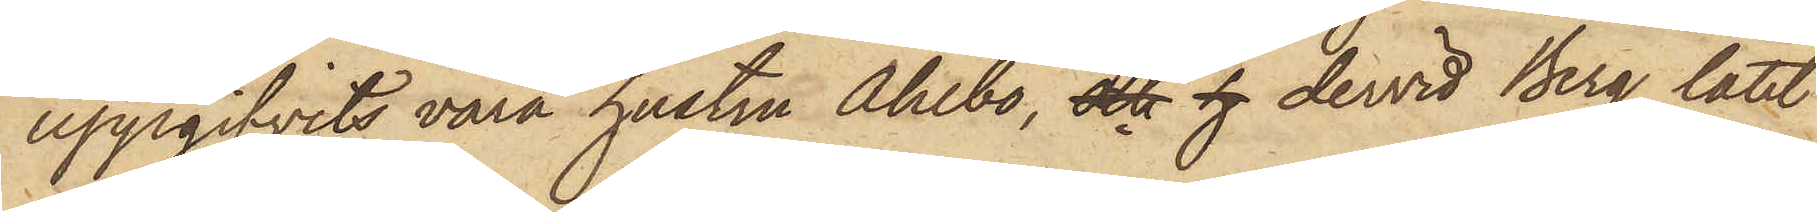uppgifvits vara hustru Ahlbo, och h dervid Berg låtit
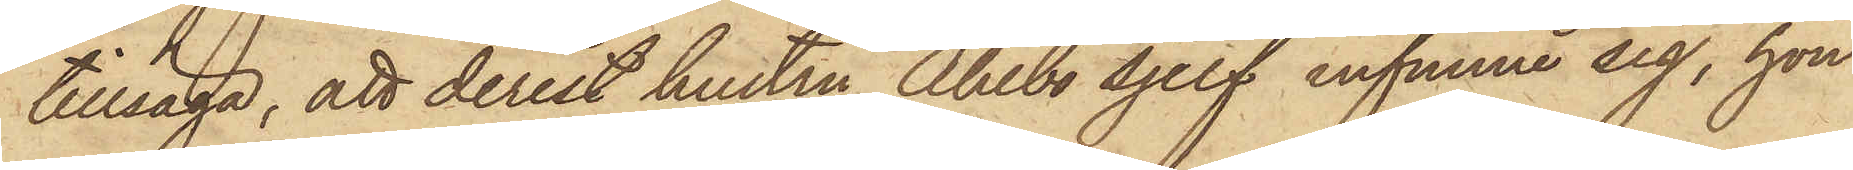tillsäga, att derest hustru Ahlbo sjelf infunne sig, hon
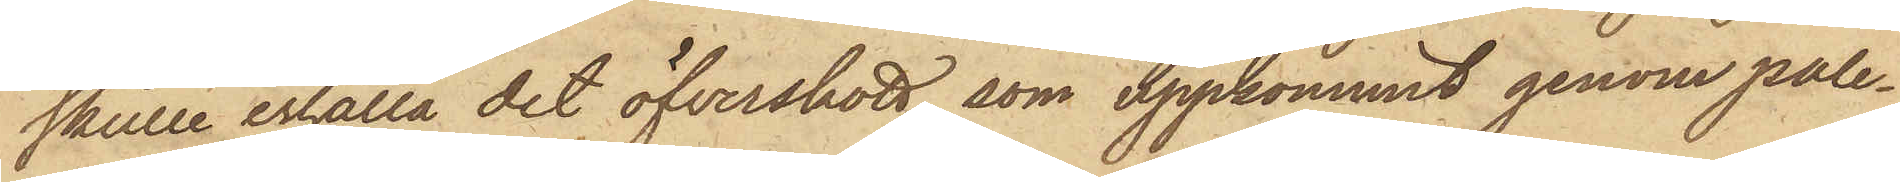skulle erhålla det öfverskott, som uppkommit genom pale¬
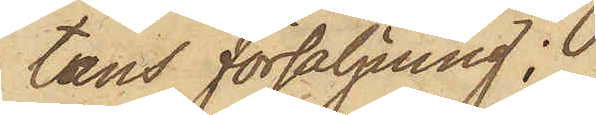tåns försäljning;
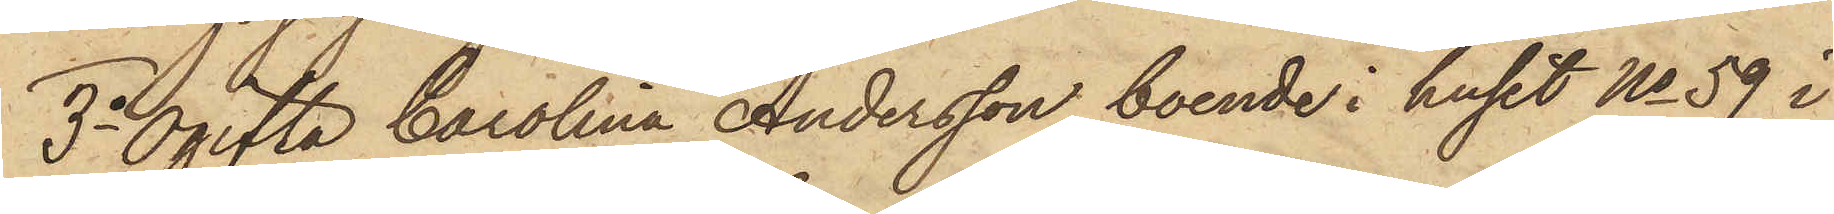3o Ogifta Carolina Andersson, boende i huset No 59 i
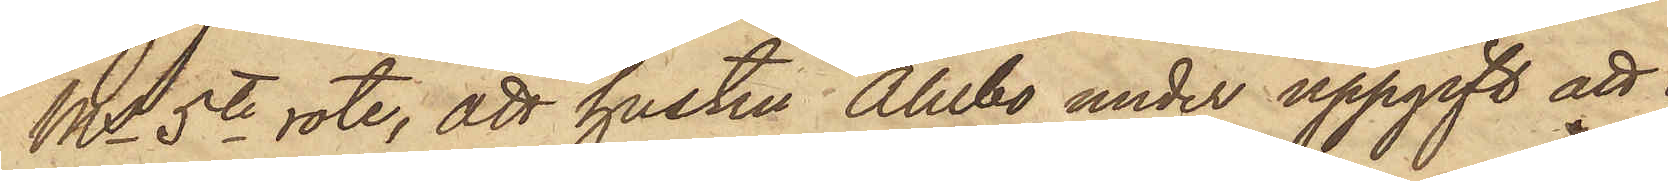Ms 5te rote, att hustru Ahlbo under uppgift att
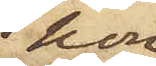hon
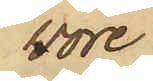vore
